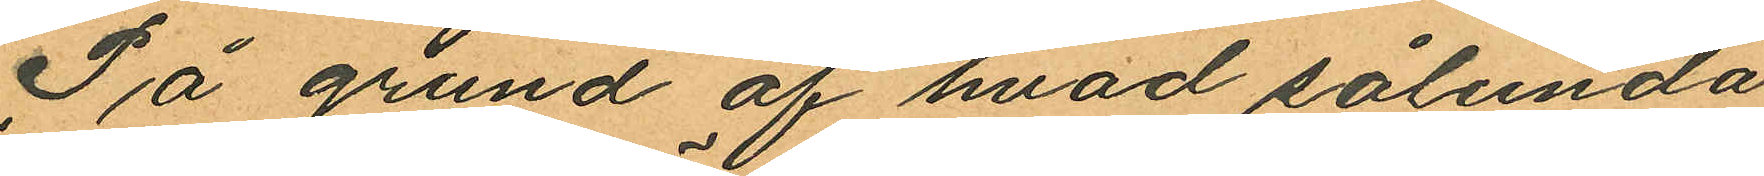På grund af hvad sålunda
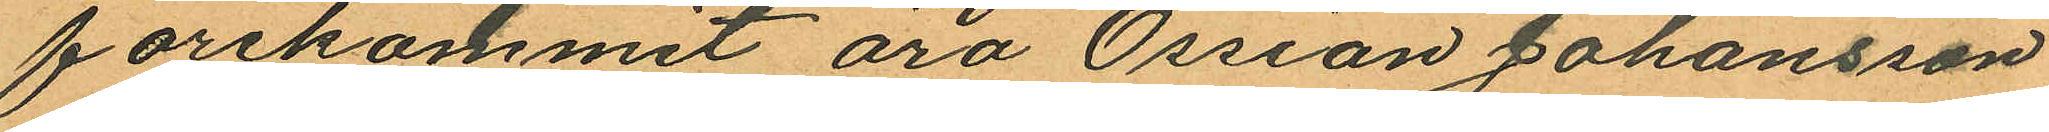förekommit äro Ossian Johansson
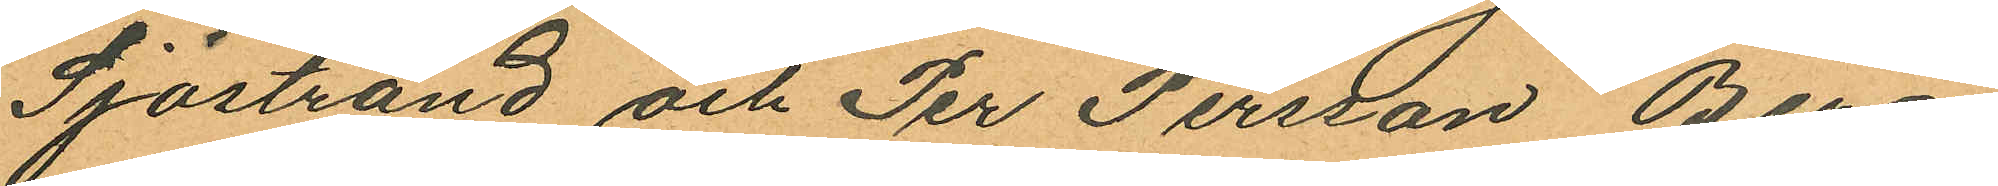Sjöstrand och Per Persson Berg¬
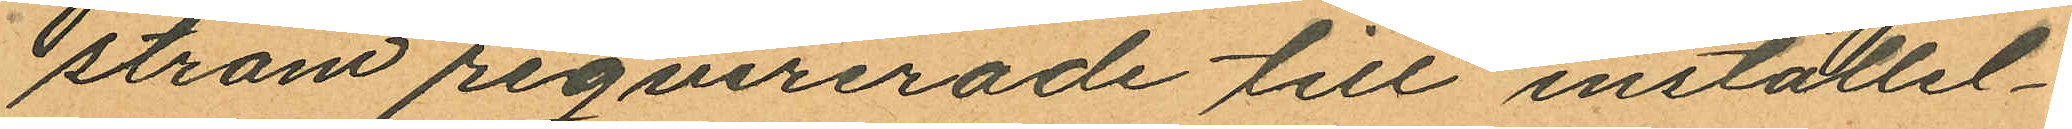ström reqvirerade till inställel¬
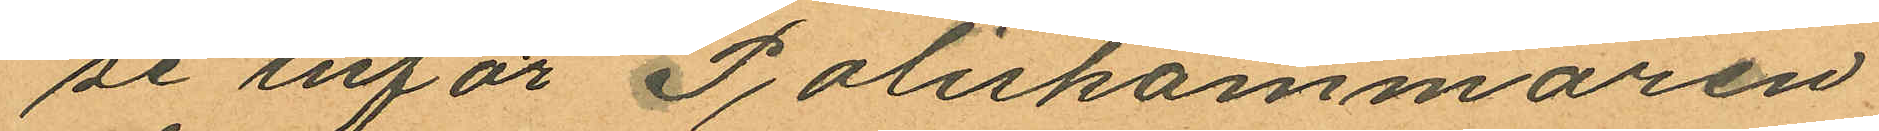se inför Poliskammaren
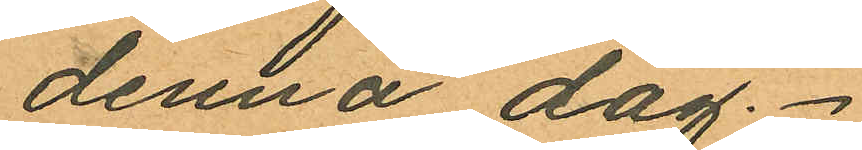denna dag.
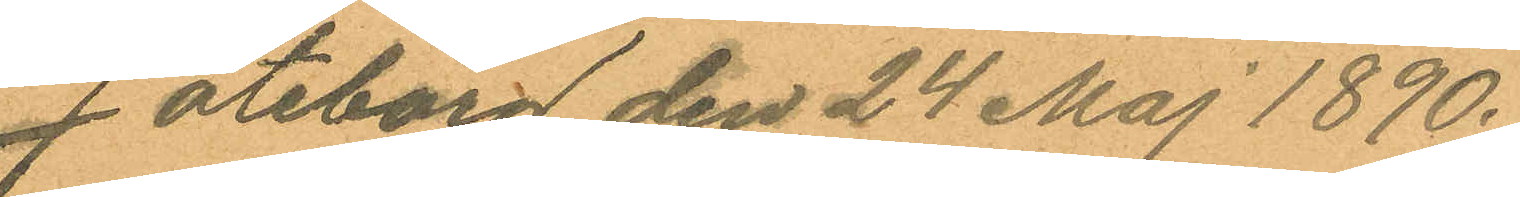Göteborg den 24 Maj 1890.
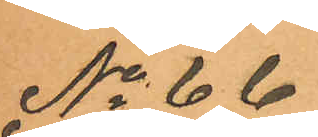No 66
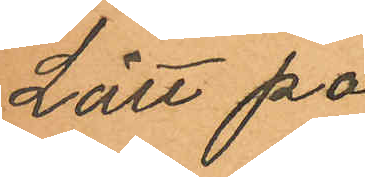Lätt på
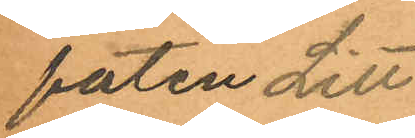foten Litt
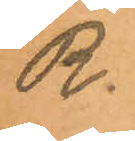R.
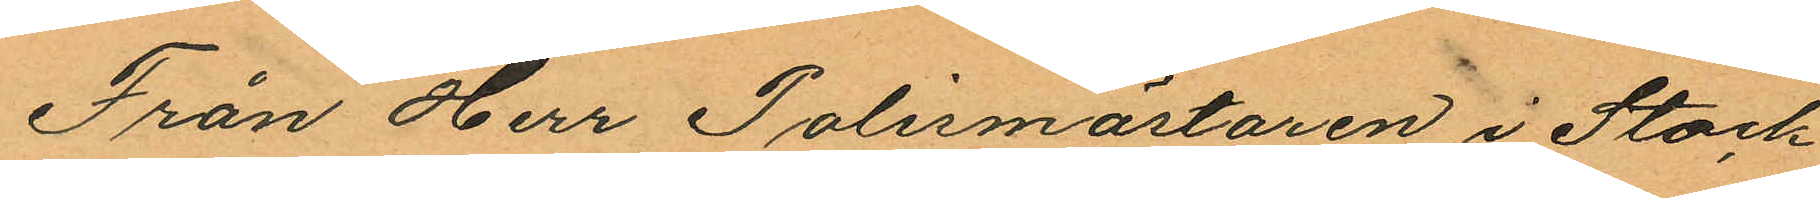Från Herr Polismästaren i Stock
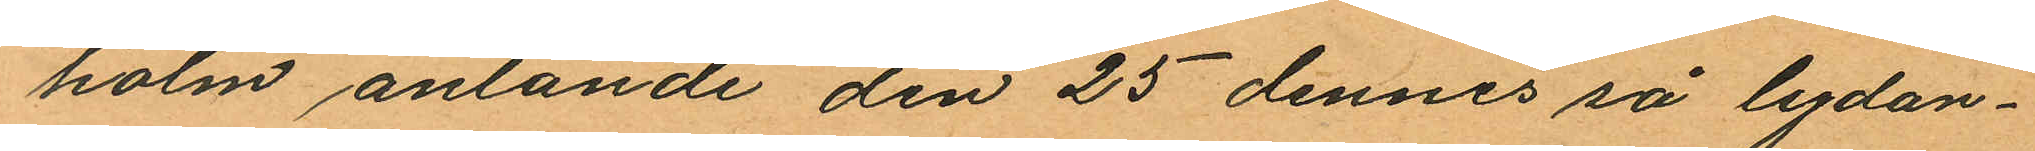holm anlande den 25 dennes så lydan¬
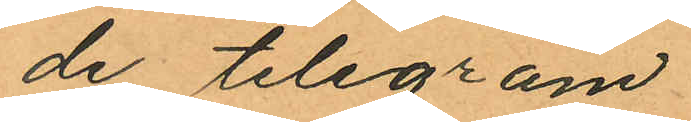de telegram.
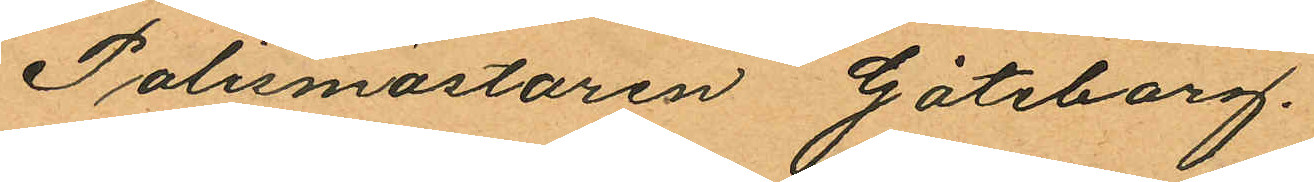Polismästaren Göteborg.
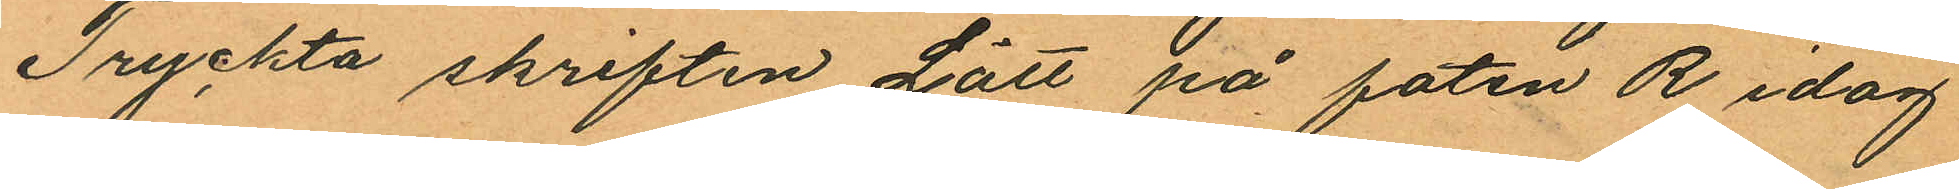Tryckta skriften Lätt på foten R idag
